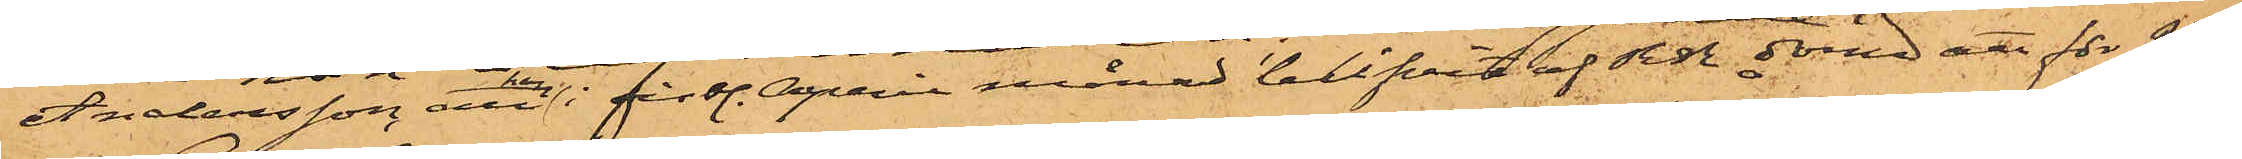Andersson, att han i sistl. April månad blifvit af RR dömd att för 2dra
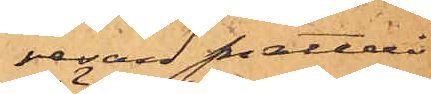resan snatteri
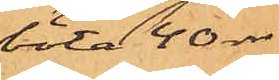böta 40 rdr
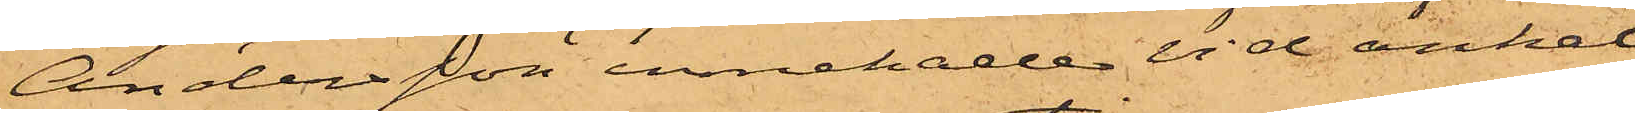Andersson innehade vid anhål¬
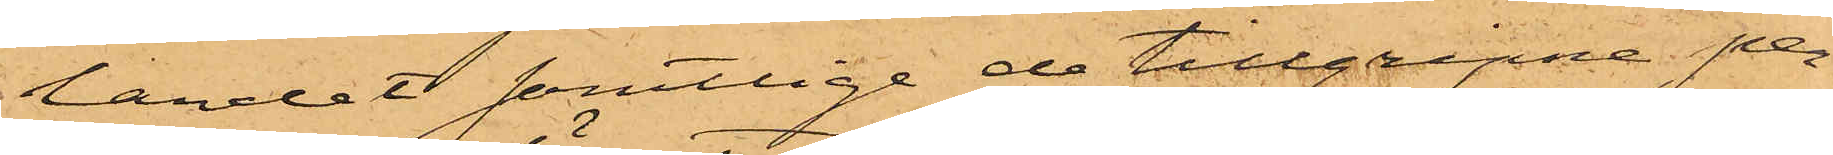landet samtlige de tillgripne per¬
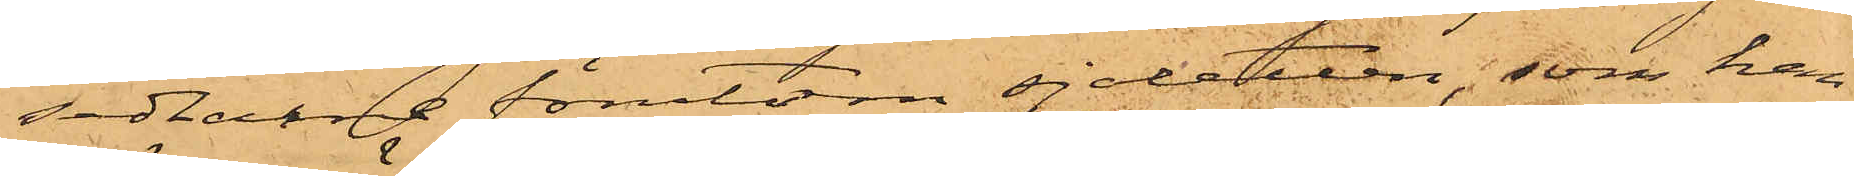sedlarne förutom sjaletten, som han
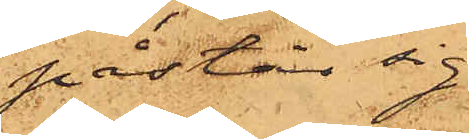påstår sig
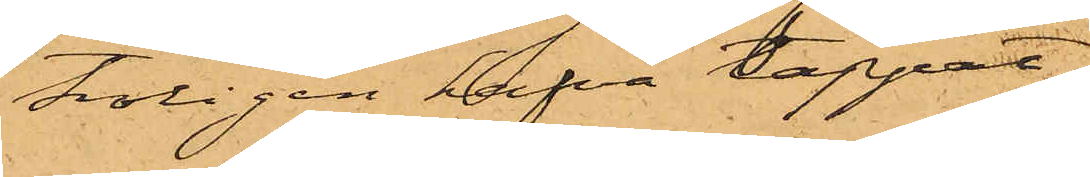troligen hafva tappat
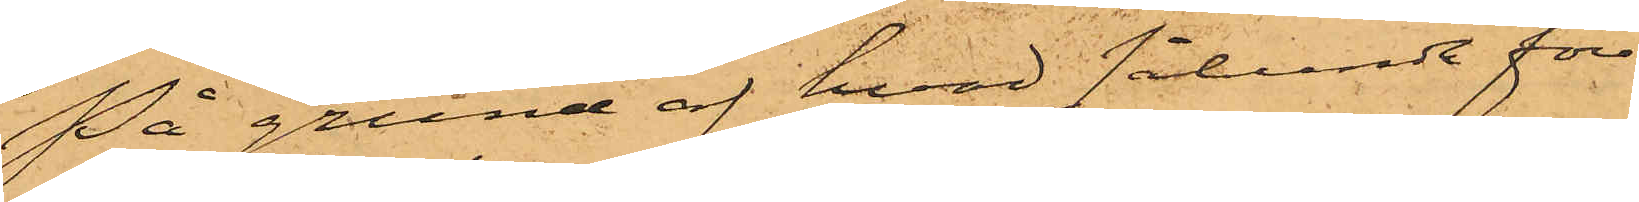På grund af hvad sålunda före¬
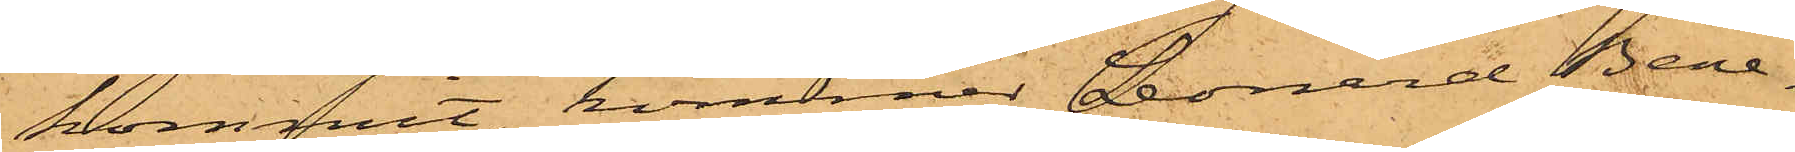kommit, kommer Leonard Bene¬
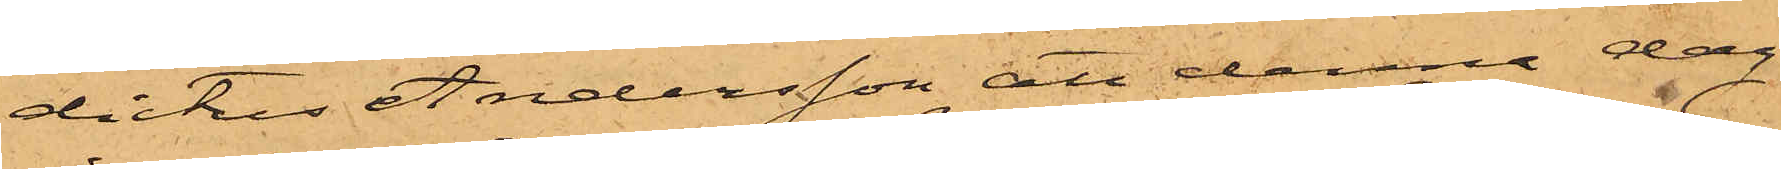dictus Andersson att denna dag
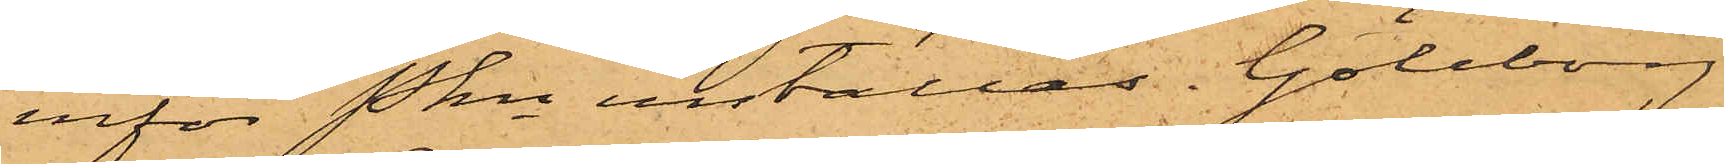inför Pkn inställas. Göteborg
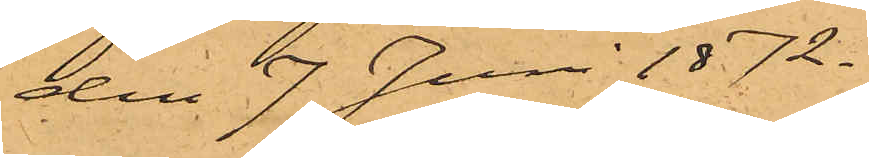den 7 Juni 1872.
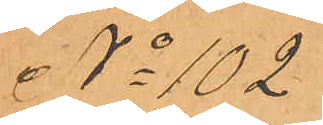No 102
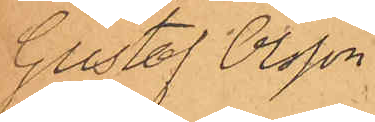Gustaf Olsson
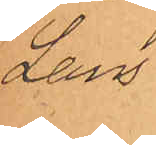Lans
